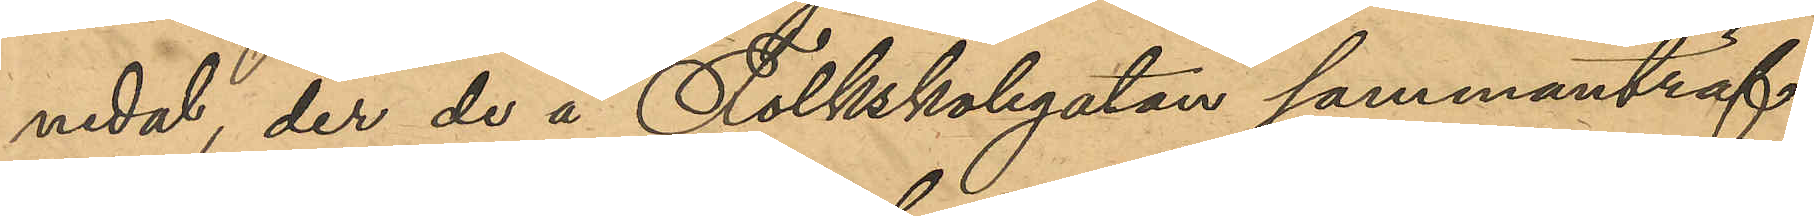nedal; der de å Folkskolegatan sammanträf¬
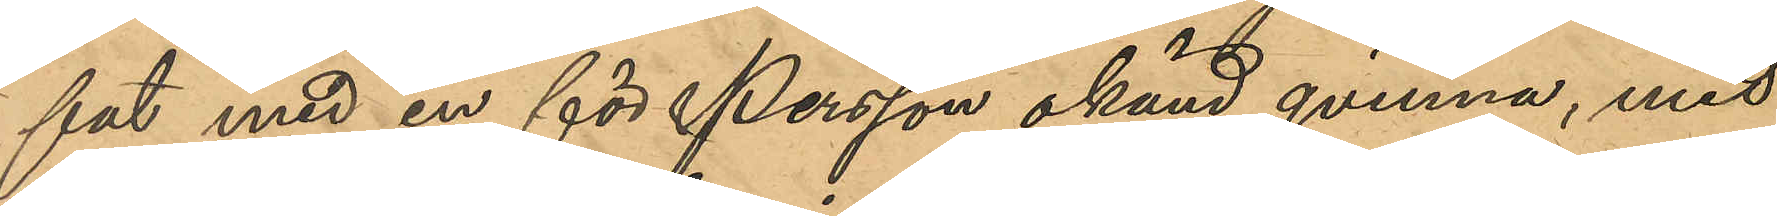fat med en för Persson okänd qvinna, med
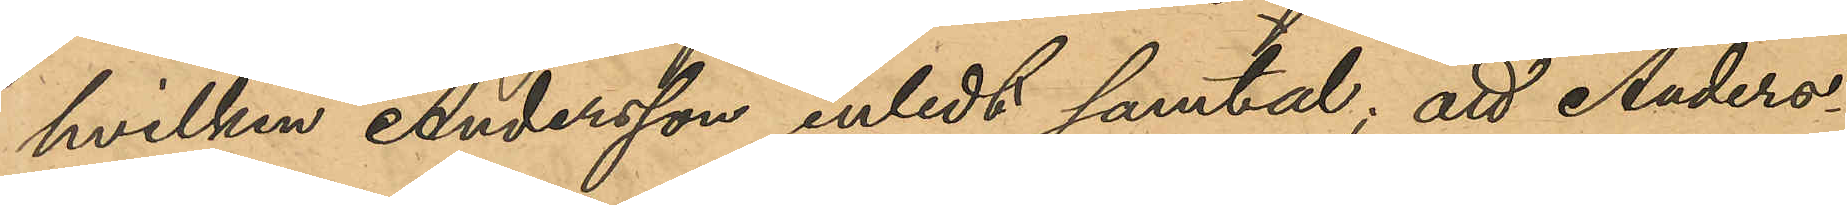hvilken Andersson inledt samtal; att Anders¬
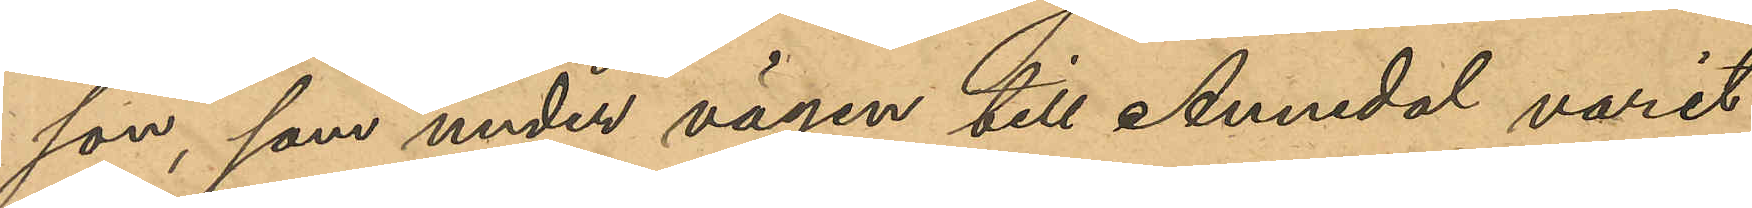son, som under vägen till Annedal varit 
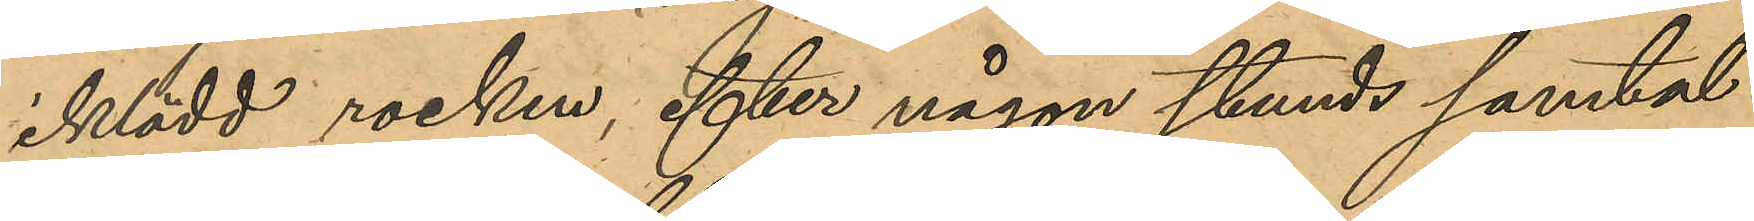iklädd rocken, efter någon stunds samtal
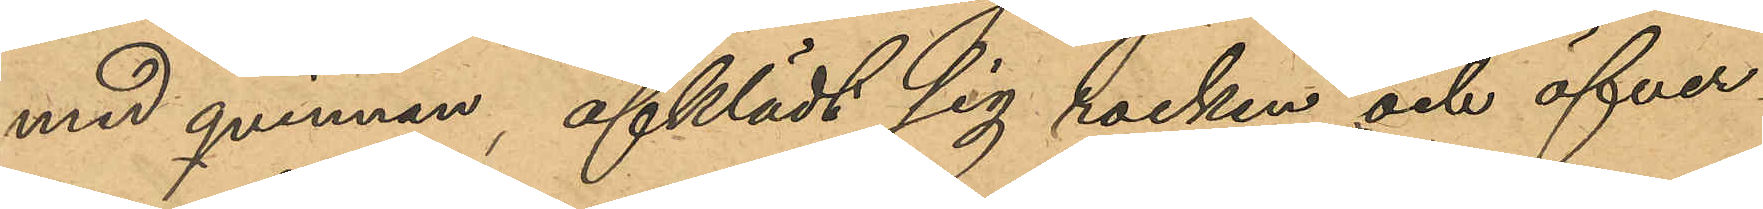med qvinnan, afklädt sig rocken och öfver¬
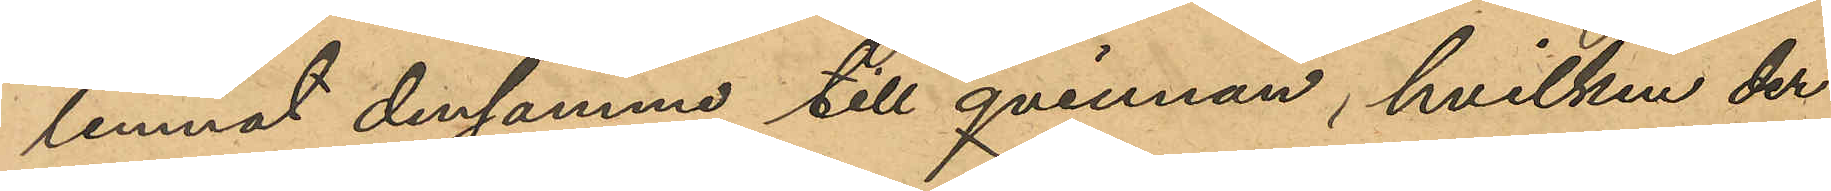lemnat densamma till qvinnan, hvilken der¬
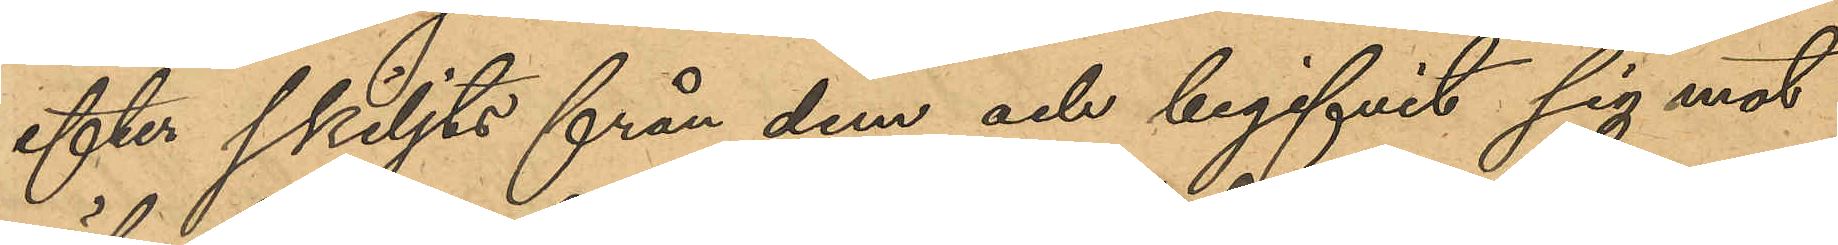efter skiljts från dem och begifvit sig mot
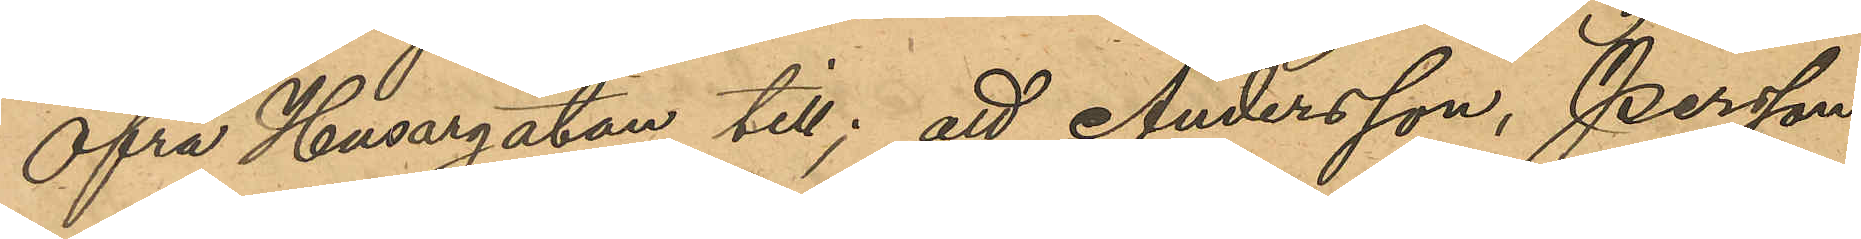Öfra Husargatan till; att Andersson, Persson
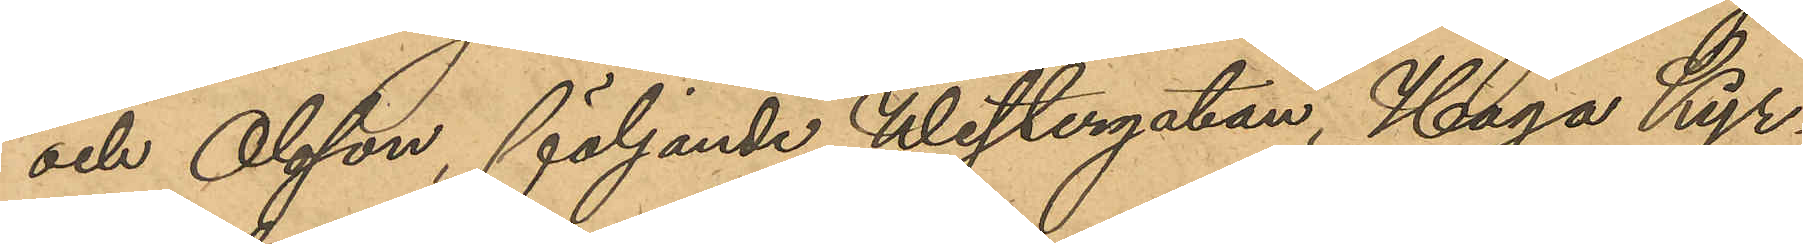och Olsson, följande Westergatan, Haga Kyr¬
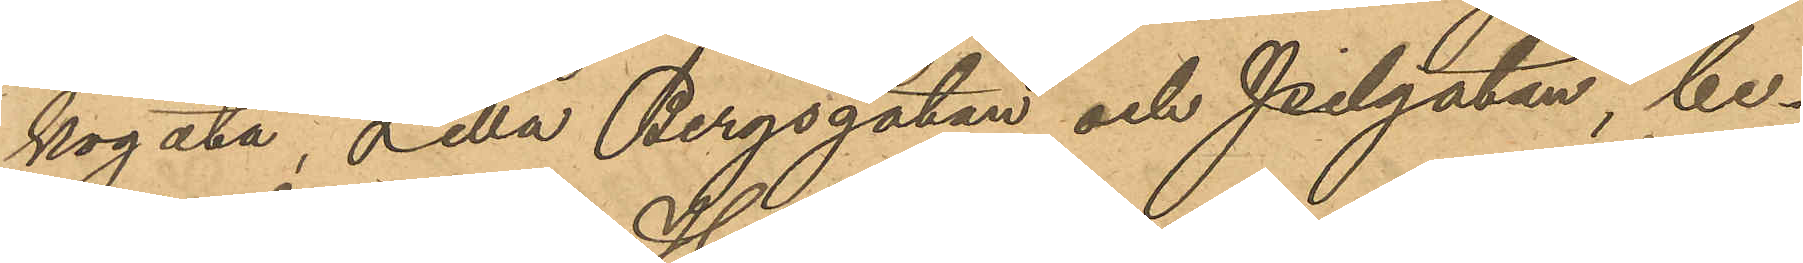kogata, Lilla Bergsgatan och Pilgatan, be¬
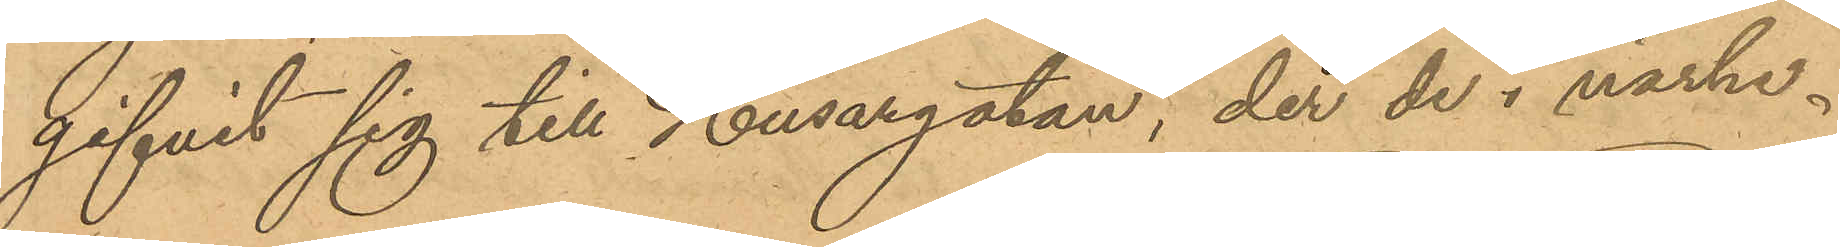gifvit sig till Husargatan, der de i närhe¬
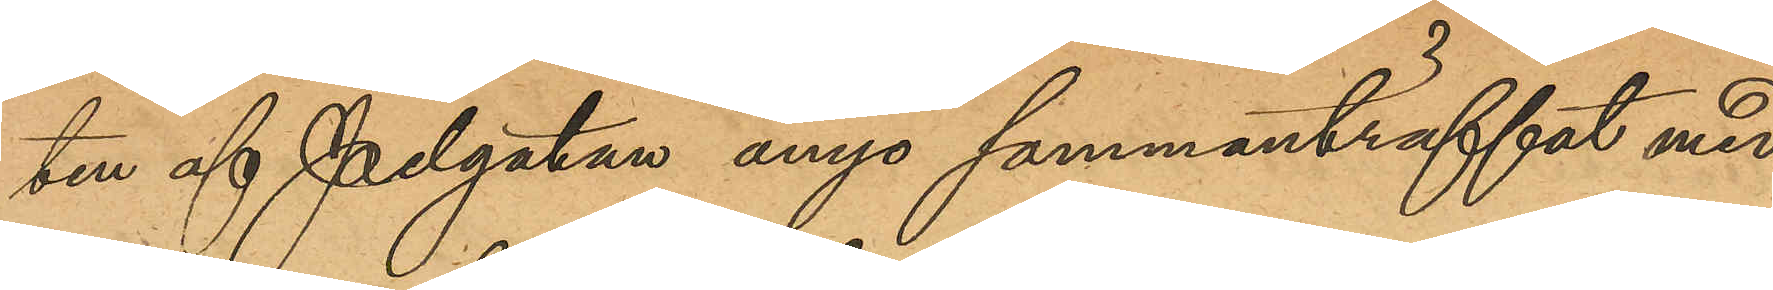ten af Pilgatan ånyo sammanträffat med
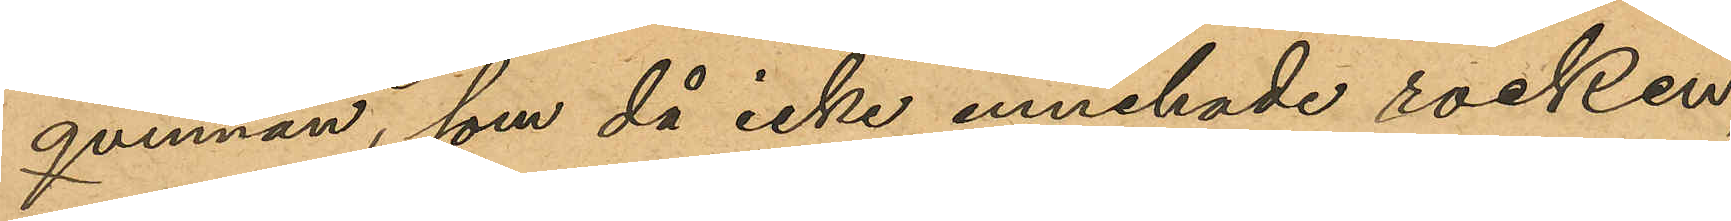qvinnan, som då icke innehade rocken,
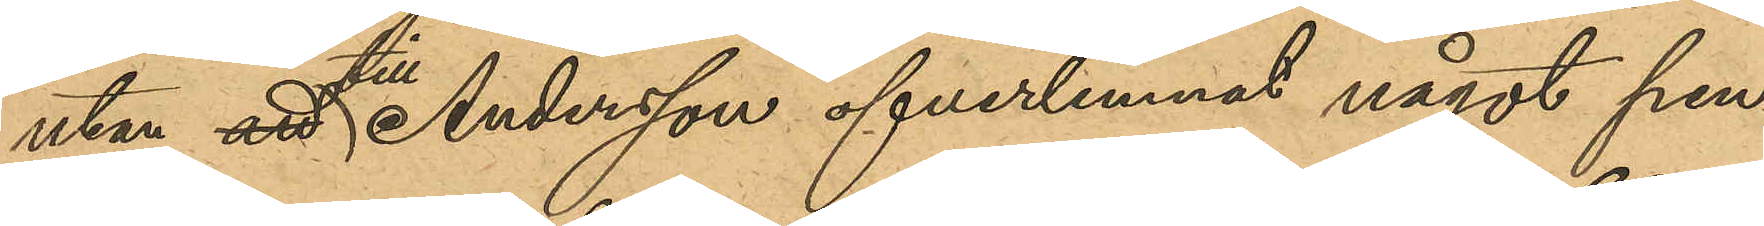utan att till Andersson öfverlemnat något pen¬
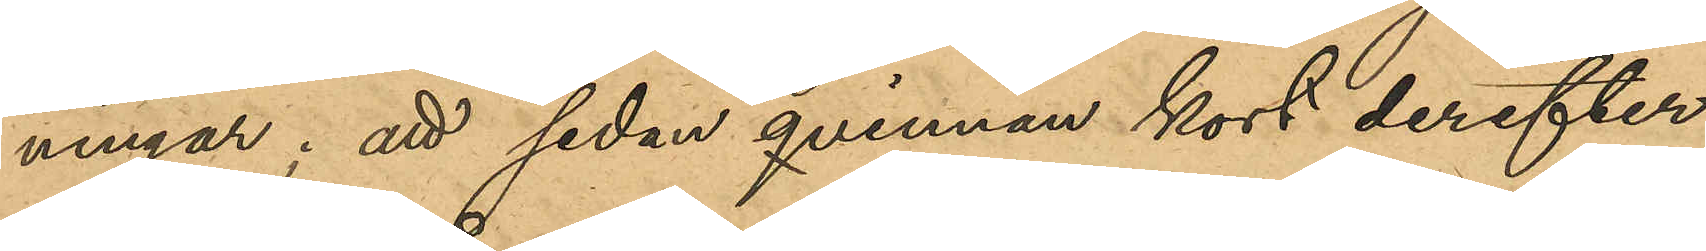ningar; att sedan qvinnan kort derefter
